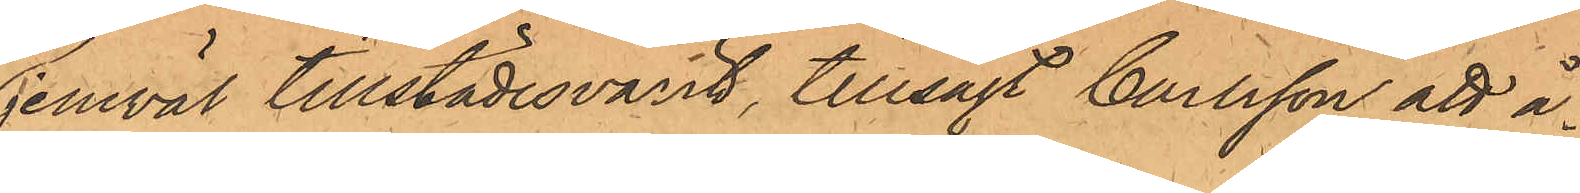jemväl tillstädesvarit, tillsagt Carlsson att å¬
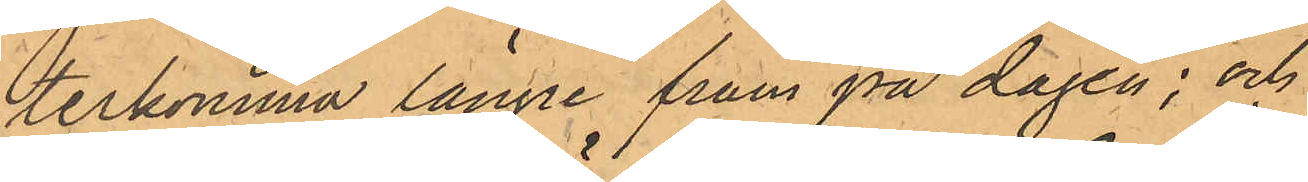terkomma längre fram på dagen; och
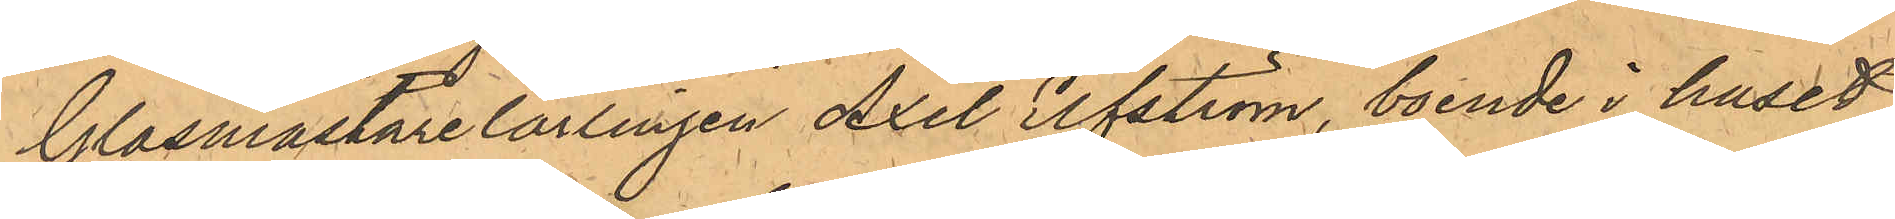Glasmästarelärlingen Axel Elfström, boende i huset
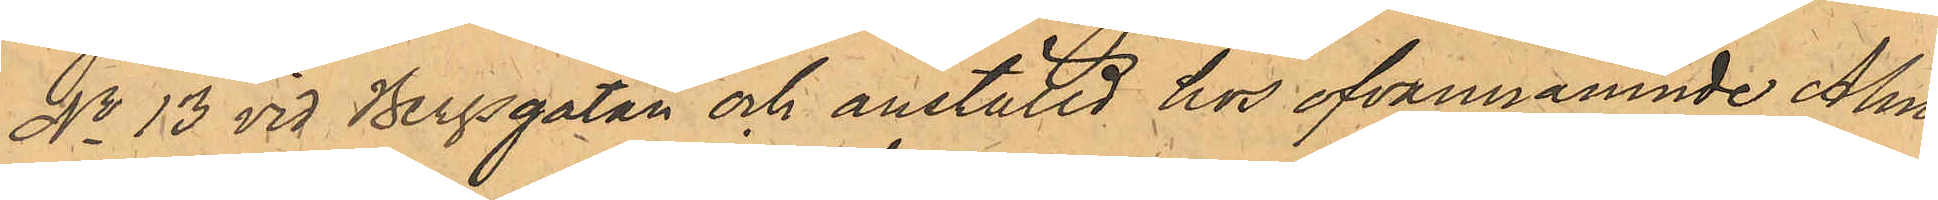No 13 vid Bergsgatan och anställd hos ofvannämnde Alm¬
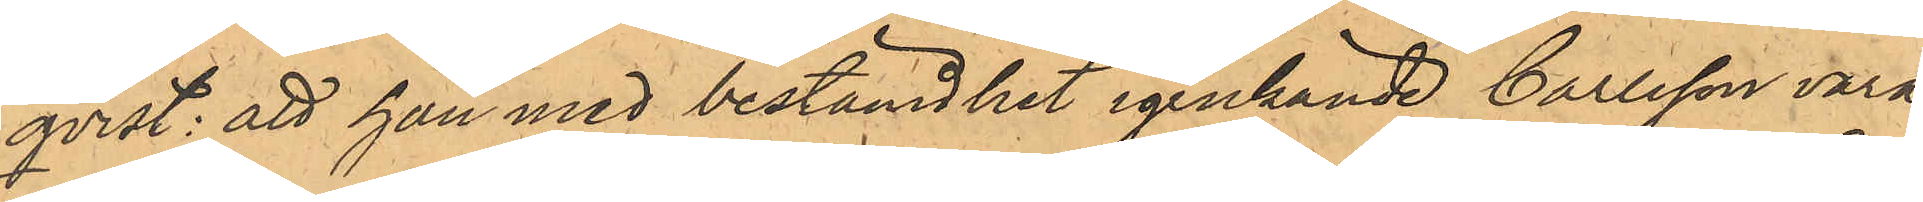qvist: att han med bestämdhet igenkände Carlsson vara
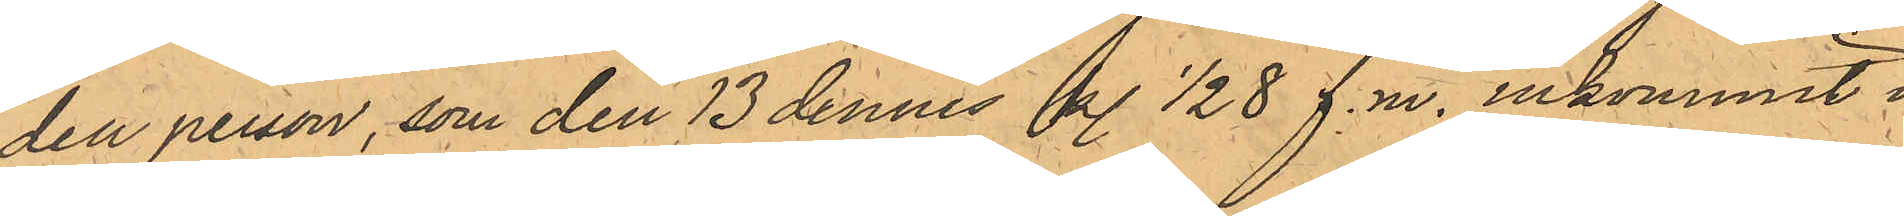den person, som den 13 dennes kl. 1/2 8 f.m. inkommit i
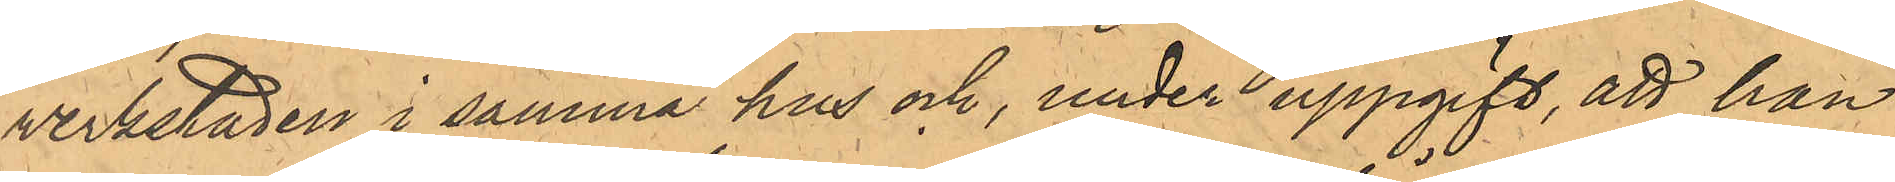verkstaden i samma hus och, under uppgift, att han
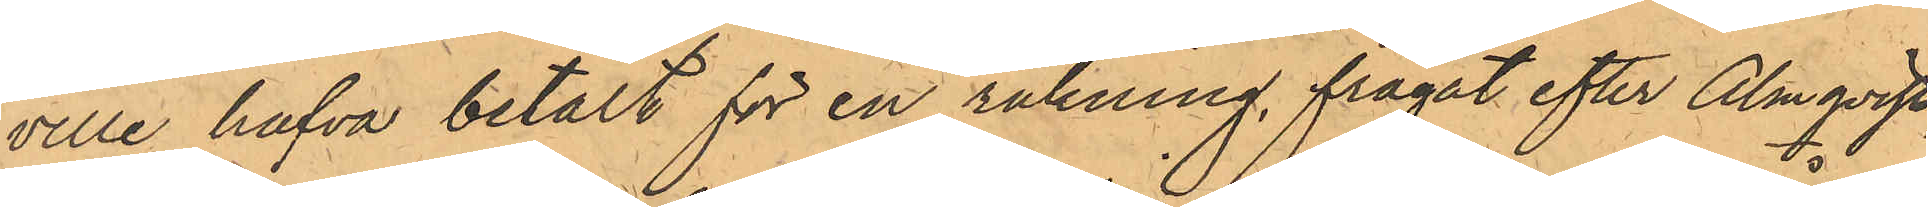ville hafva betalt för en räkning, frågat efter Almqvist,
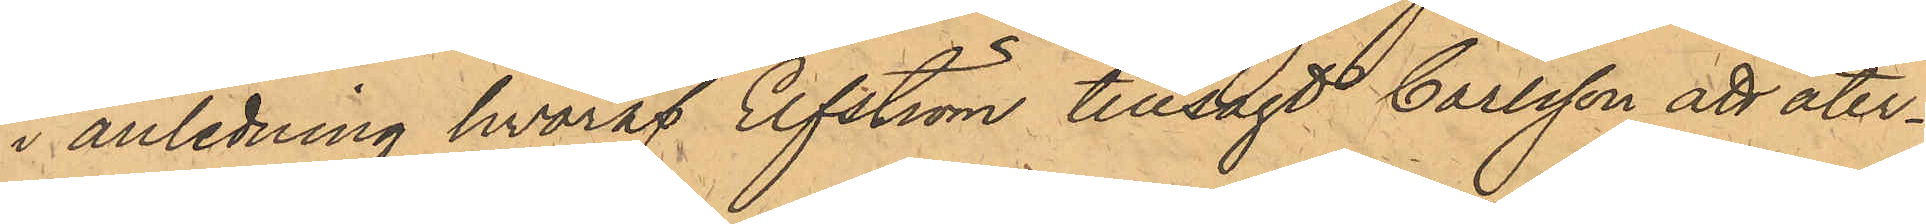i anledning hvaraf Elfström tillsagt Carlsson att åter¬
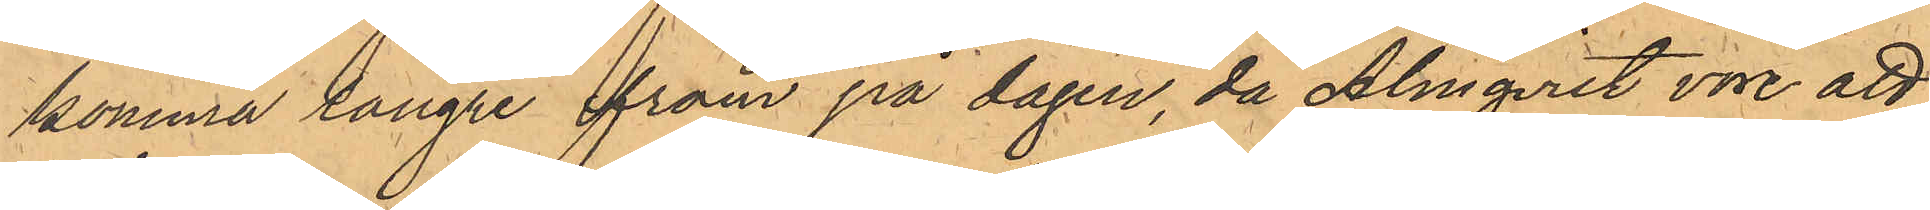komma längre fram på dagen, då Almqvist vore att
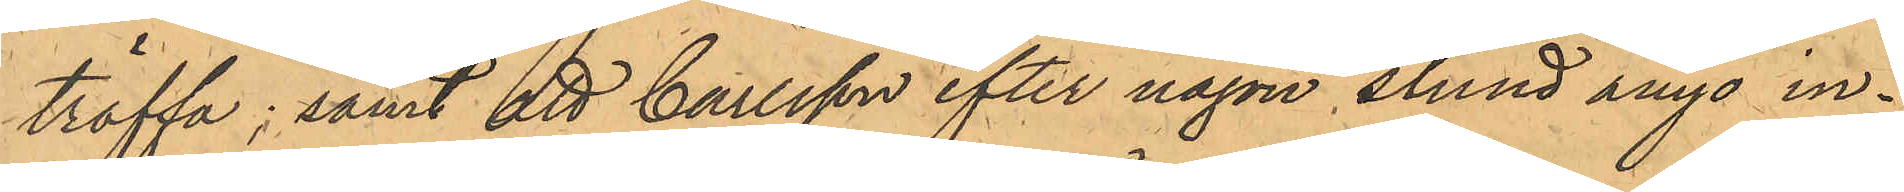träffa; samt att Carlsson efter någon stund ånyo in¬
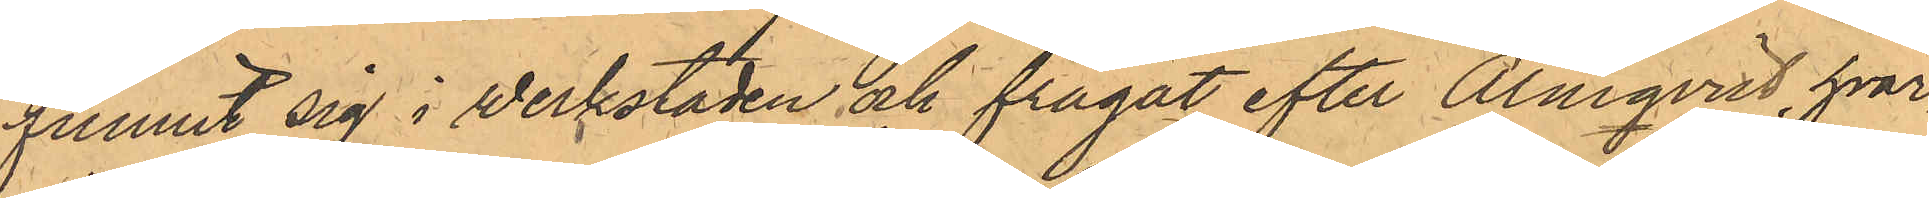funnit sig i verkstaden och frågat efter Almqvist, hvar¬
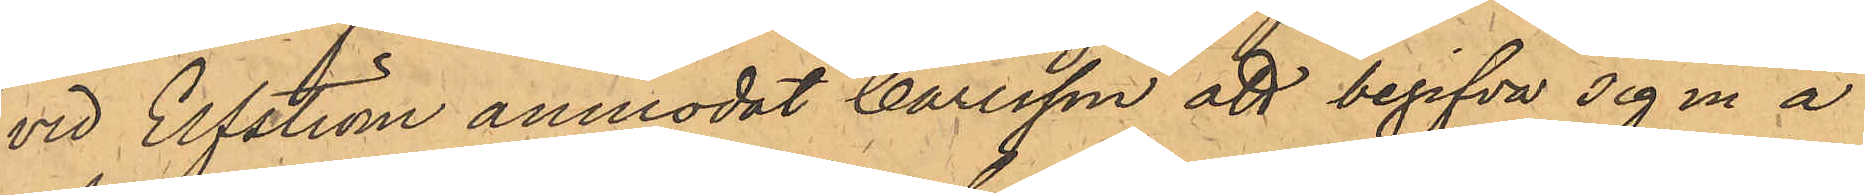vid Elfström anmodat Carlsson att begifva sig in å
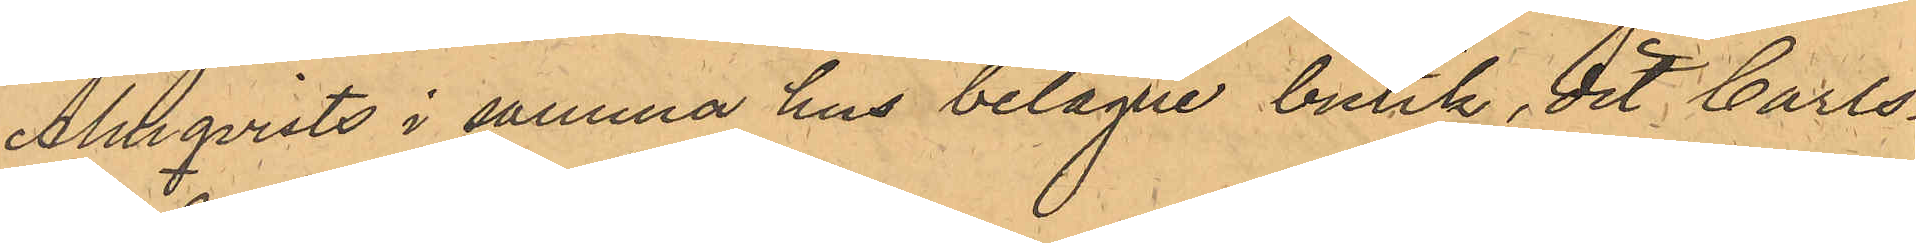Almqvists i samma hus belägne butik, dit Carls¬
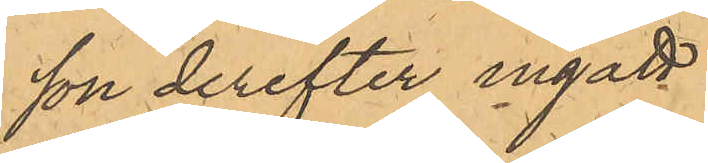son derefter ingått.
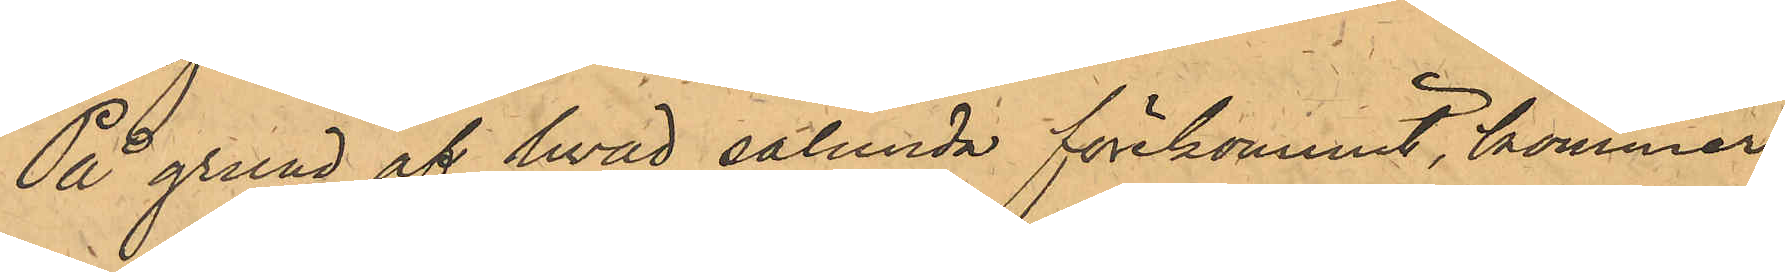På grund af hvad sålunda förekommit, kommer
